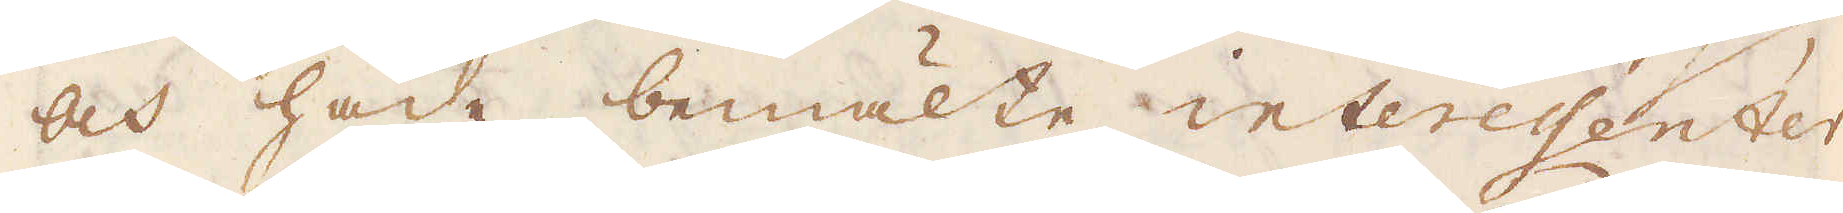och hade bemälte interessenter
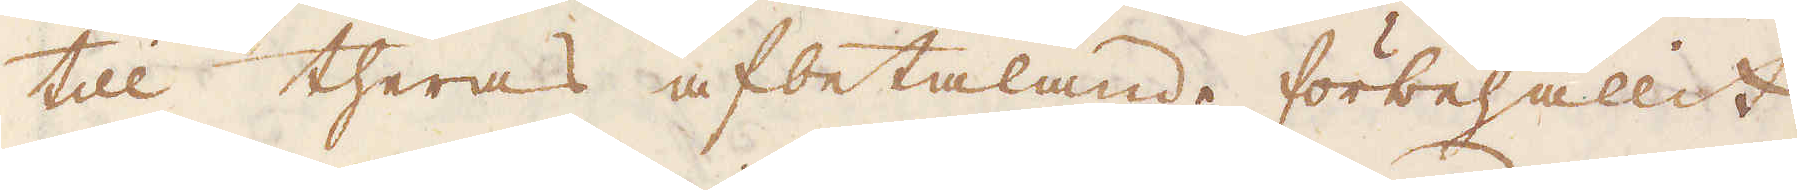till theras afbetalande förbehållit
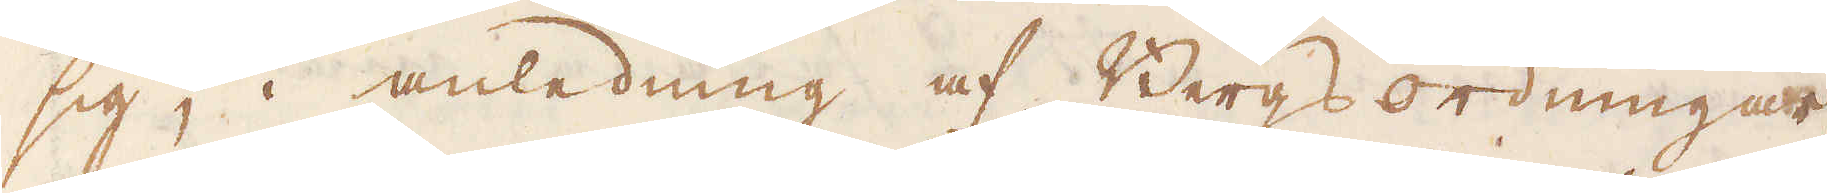sig, i anledning af Bergsordningar-
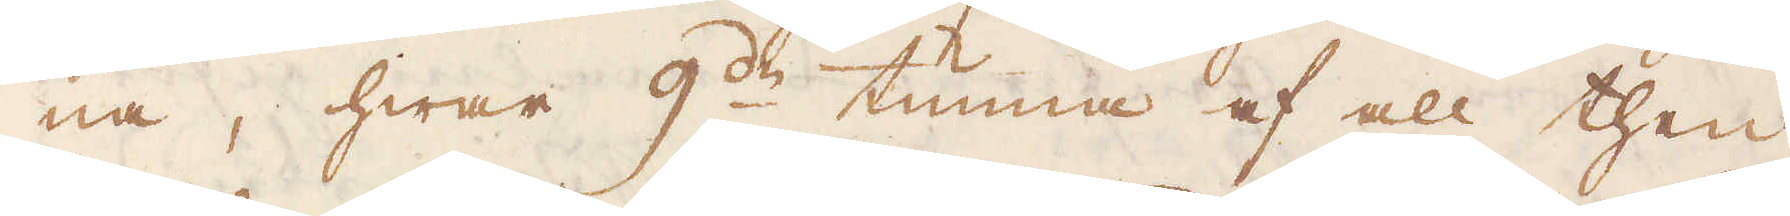na, hwar 9:de tunna af all then
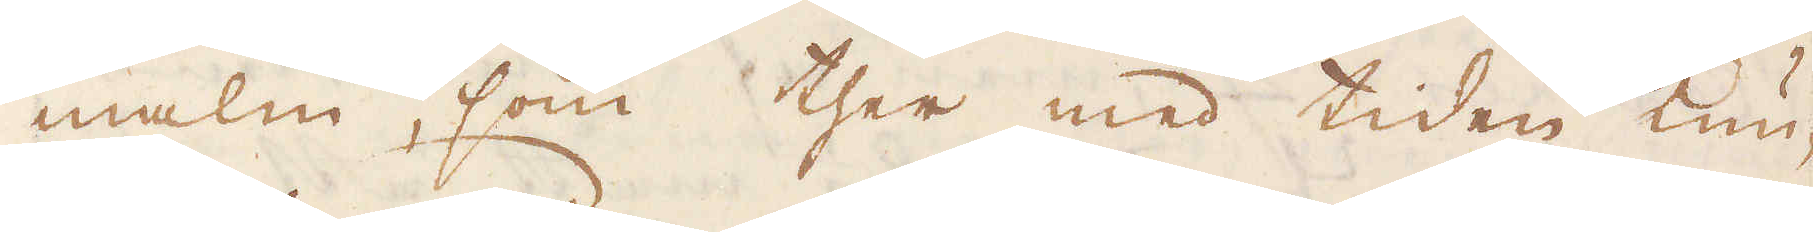malm, som ther med tiden kun-
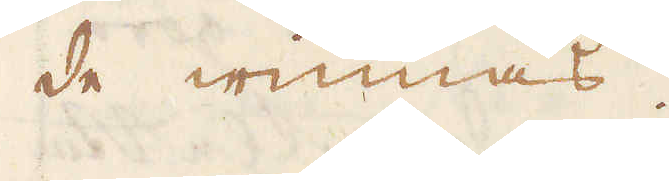de winnas.
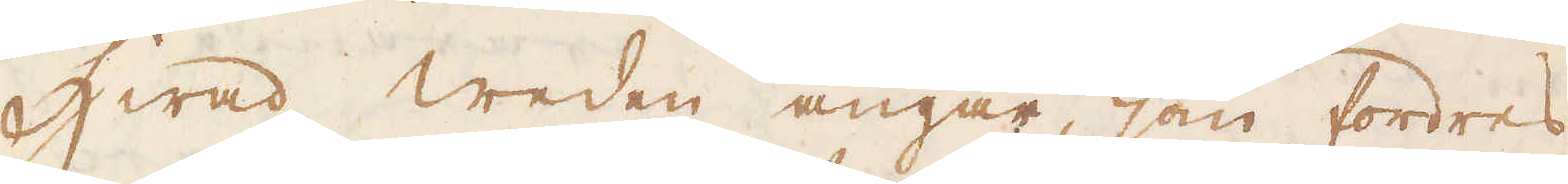Hwad weden angår, som fordres
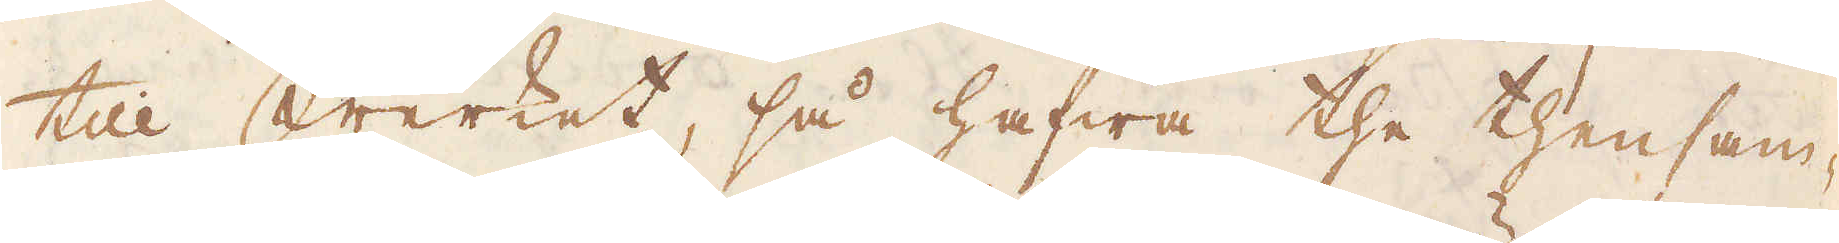till Werket, så hafwa the thensam-
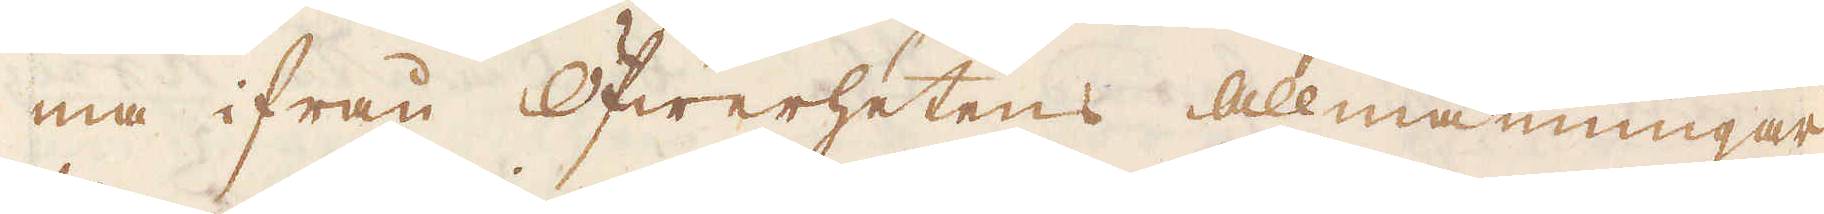ma ifrån Öfwerhetens allmänningar
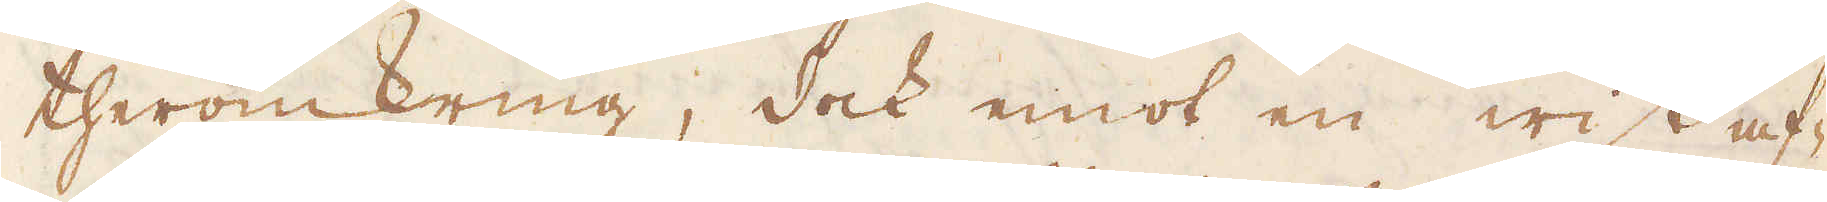theromkring, dock emot en wiss af-
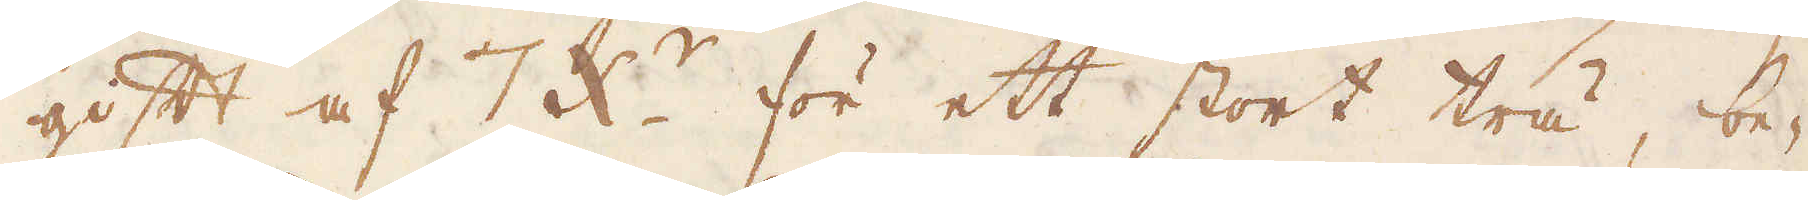gift af 7 x:r för ett stort trä, be-
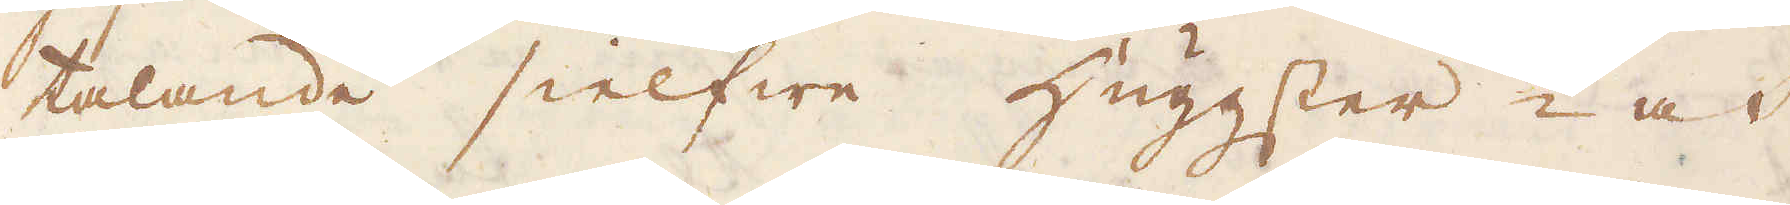talande sielfwe huggster- och
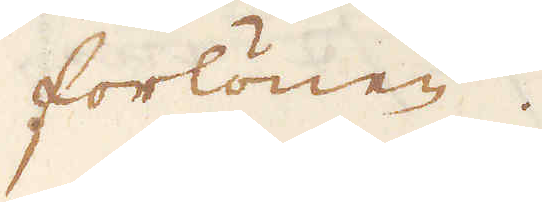forlönen.
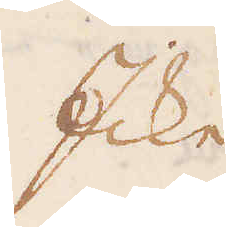Icke
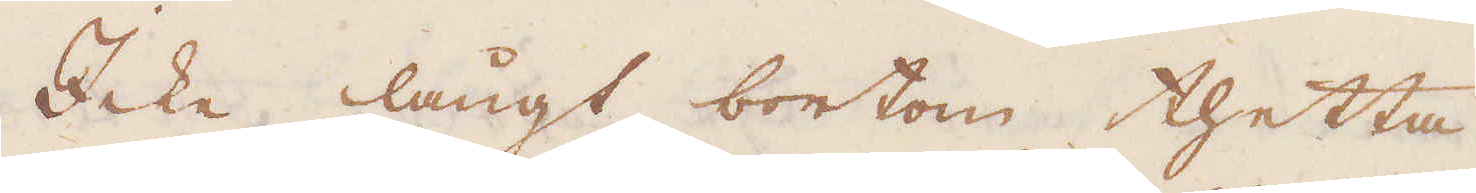Icke långt bortom thetta
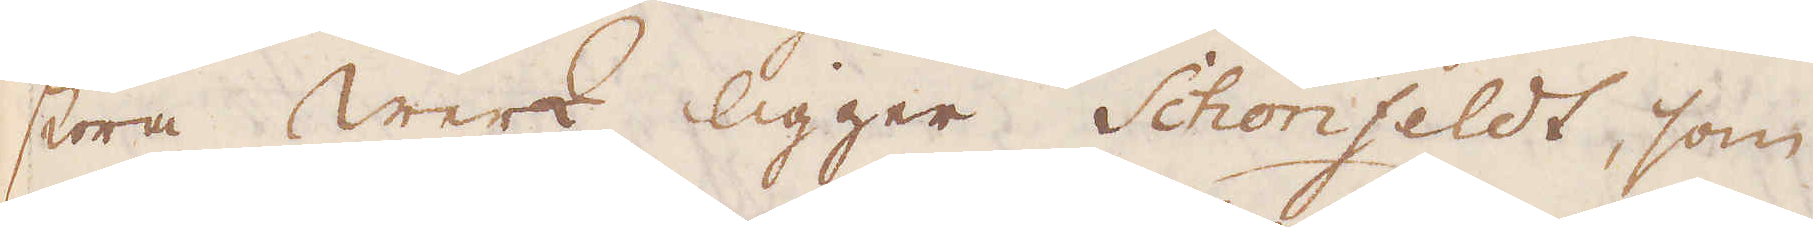stora Werk ligger Schönfeldt, som
